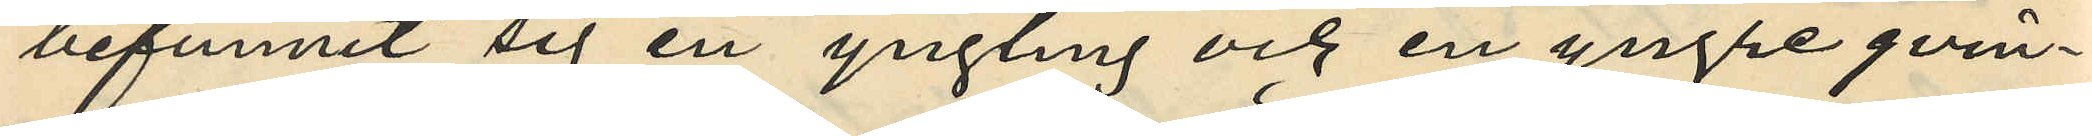befunnit sig en yngling och en yngre qvin¬
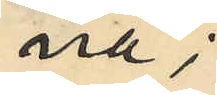na;
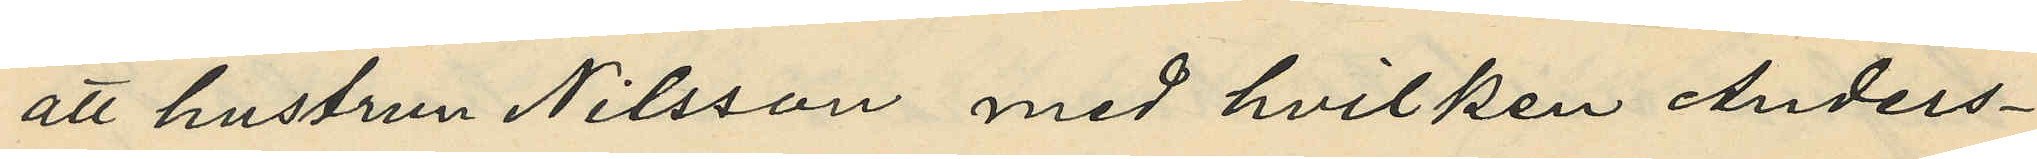att hustrun Nilsson med hvilken Anders¬
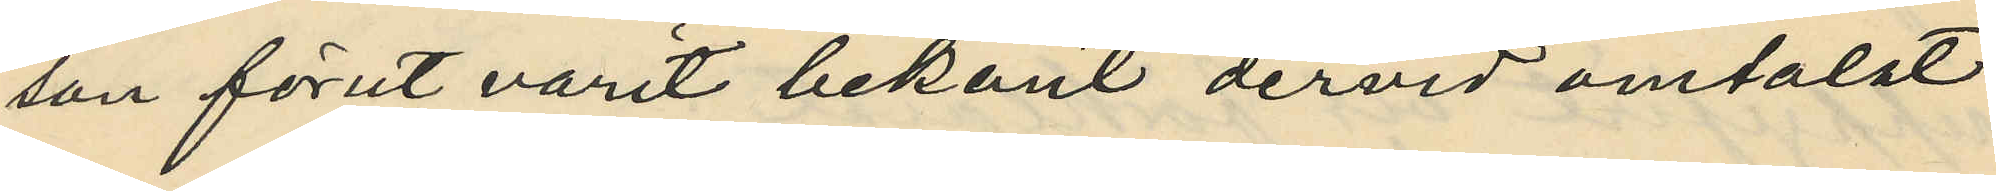son förut varit bekant dervid omtaldt
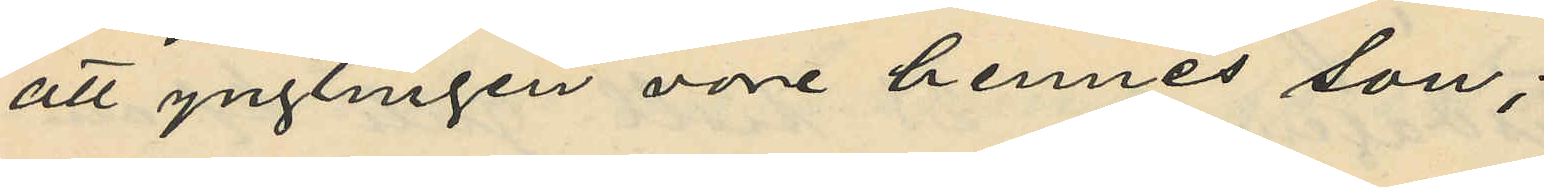att ynglingen vore hennes son;
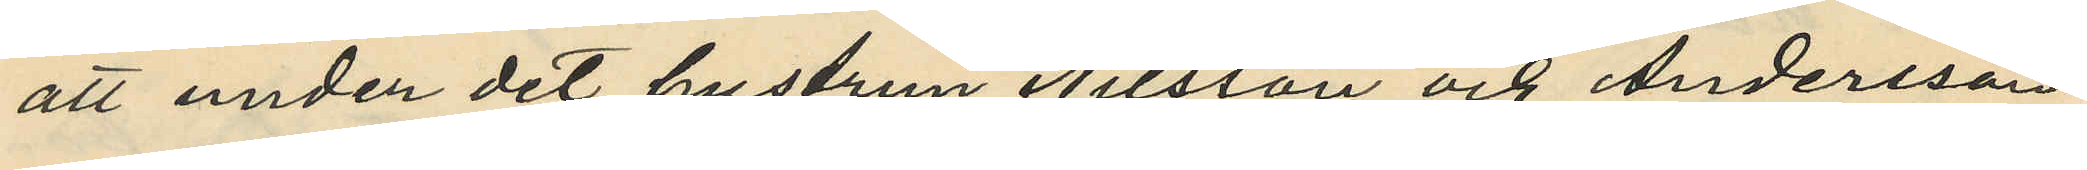att under det hustrun Nilsson och Andersson
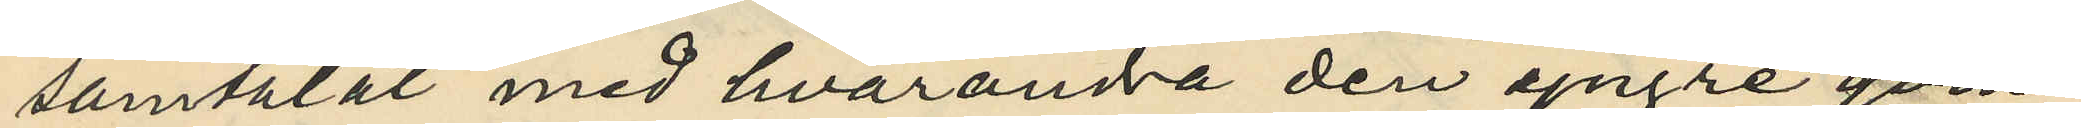samtalat med hvarandra den yngre qvin¬
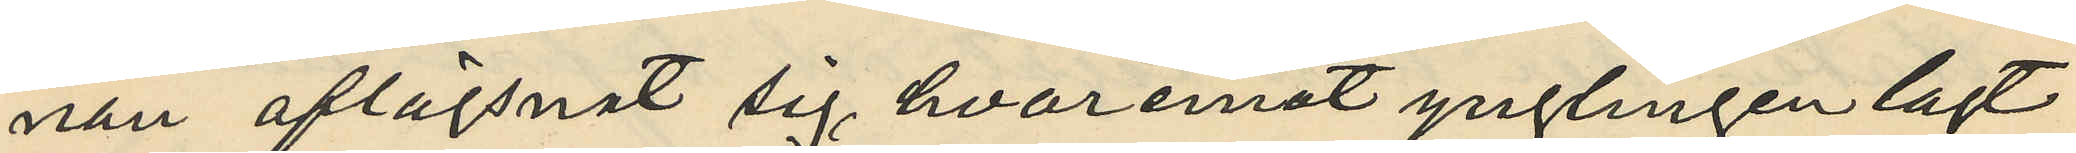nan aflägsnat sig, hvaremot ynglingen lagt
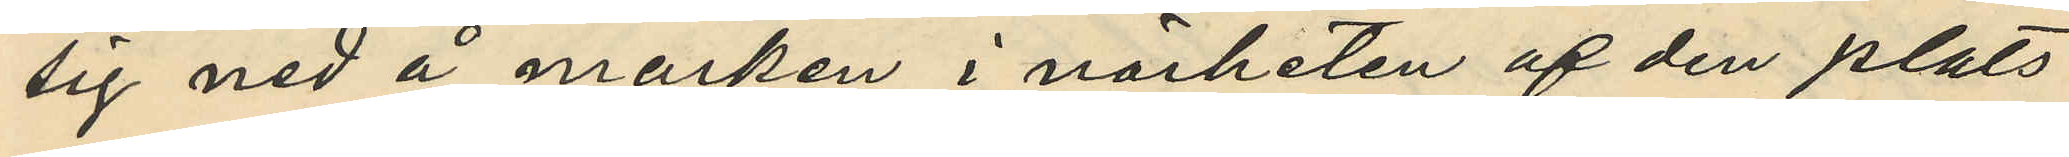sig ned å marken i närheten af den plats
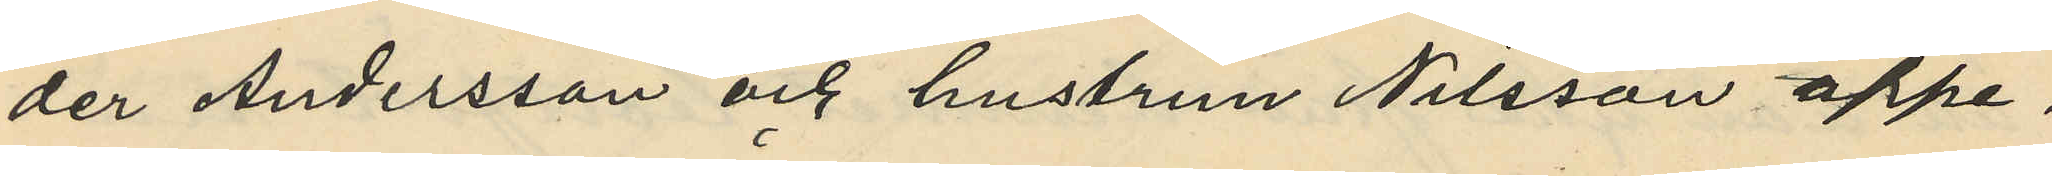der Andersson och hustrun Nilsson öppe¬
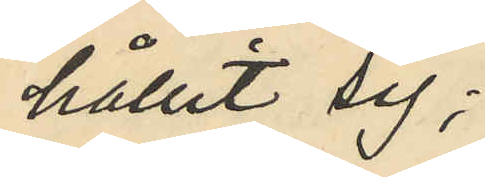hållit sig;
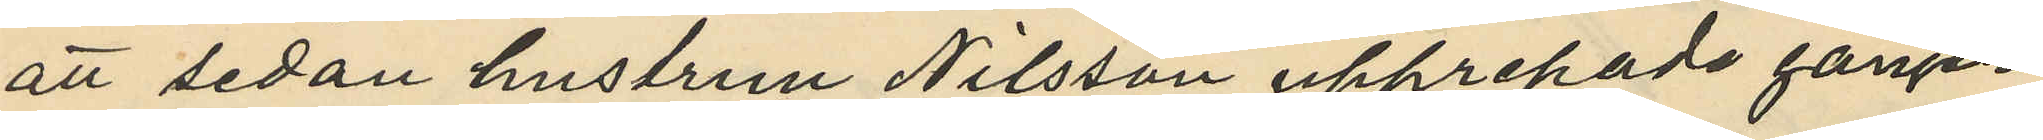att sedan hustrun Nilsson upprepade gången
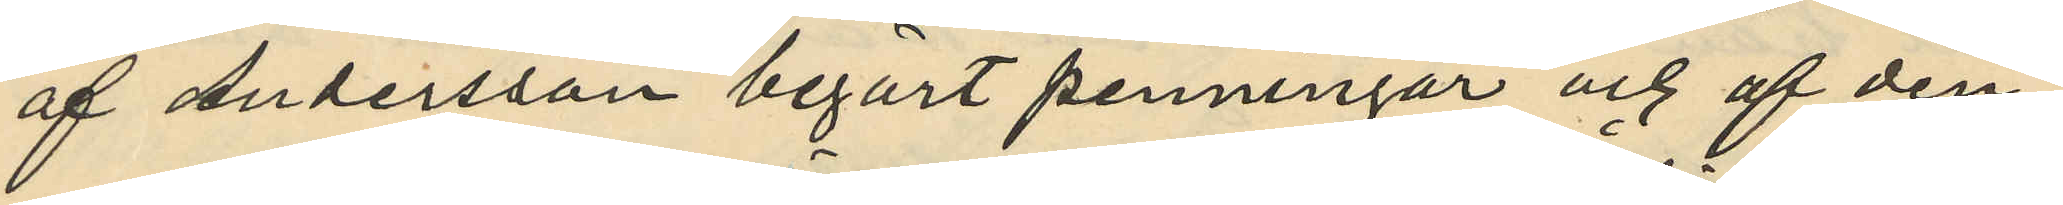af Andersson begärt penningar och af den¬
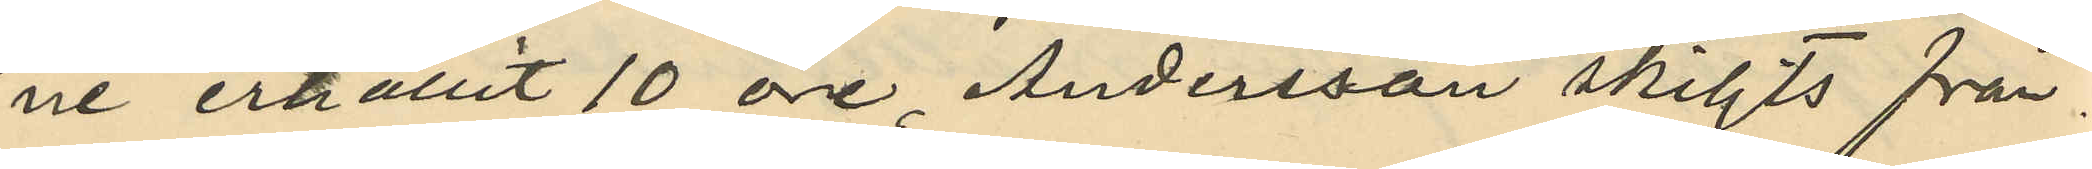ne erhållit 10 öre, Andersson skiljts från
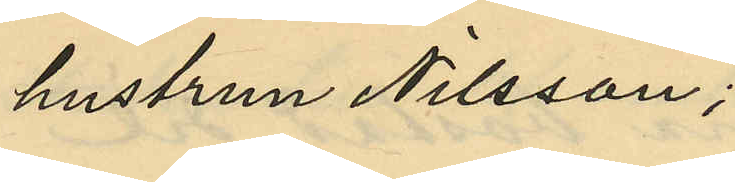hustrun Nilsson;
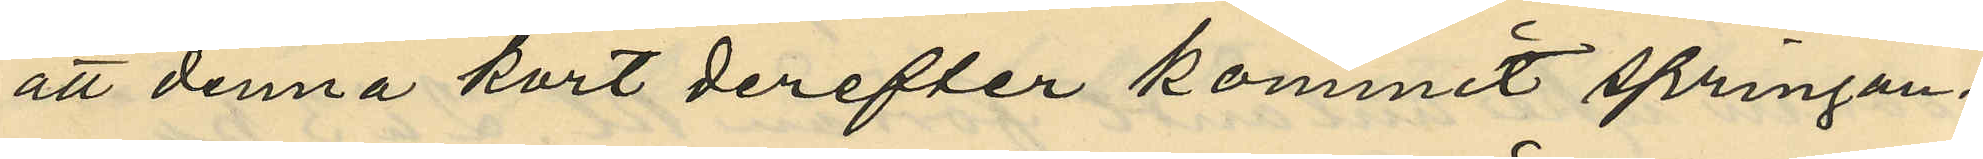att denna kort derefter kommit springan¬
